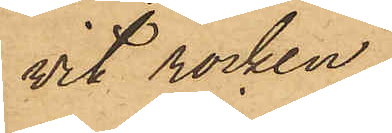vit rocken.
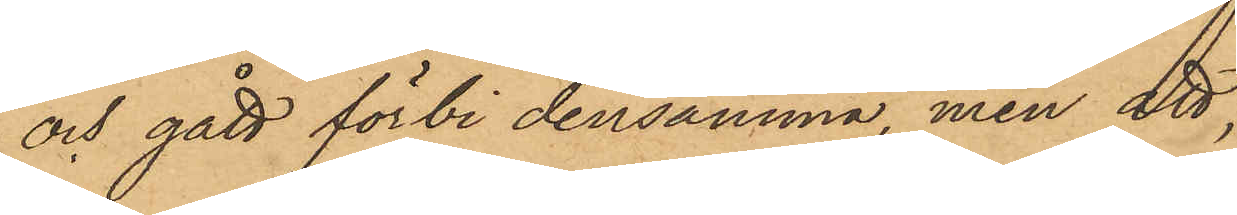och gått förbi densamma, men att
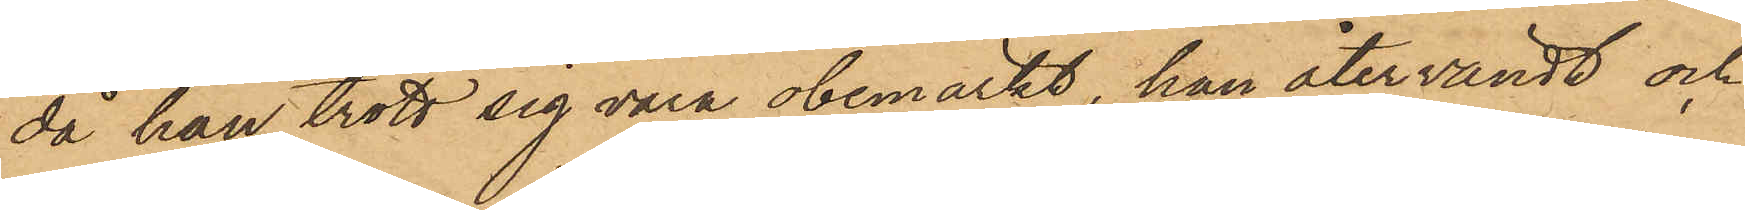då han trott sig vara obemärkt, han återvändt och
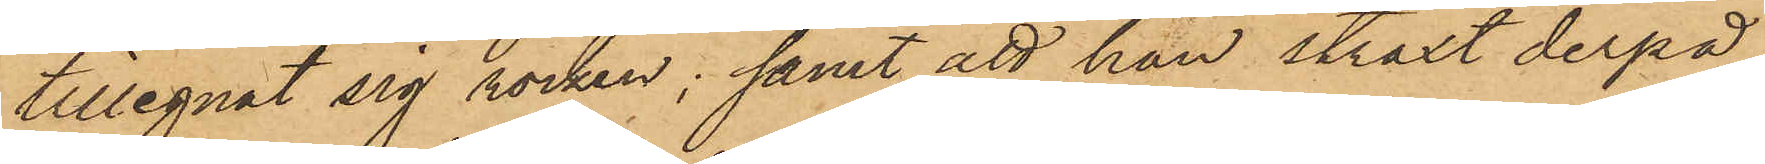tillegnat sig rocken; samt att han straxt derpå
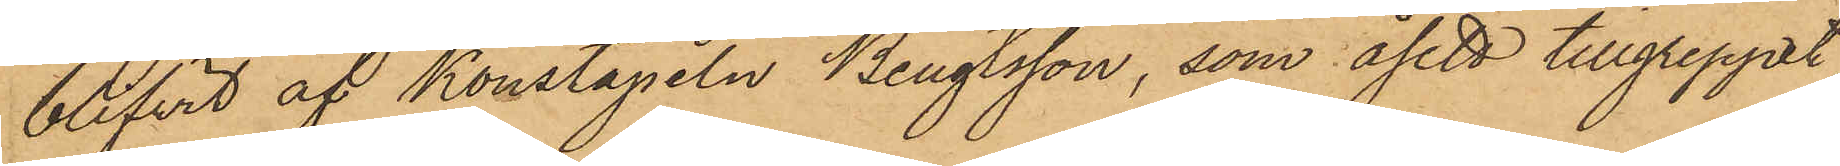blifvit af Konstapeln Bengtsson, som åsett tillgreppet,
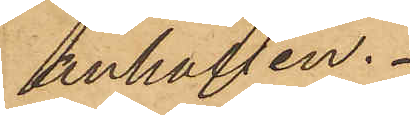anhållen.
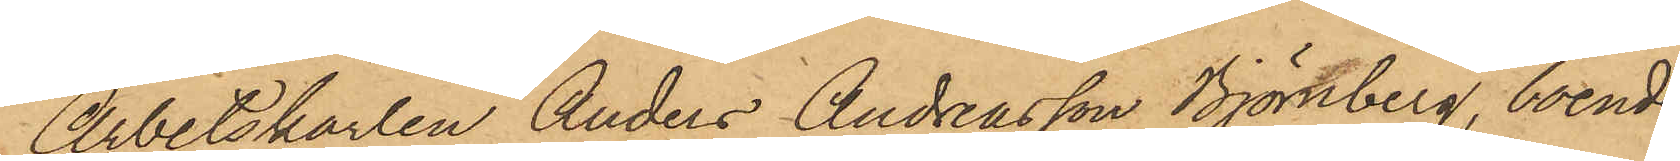Arbetskarlen Anders Andreasson Björnberg, boende
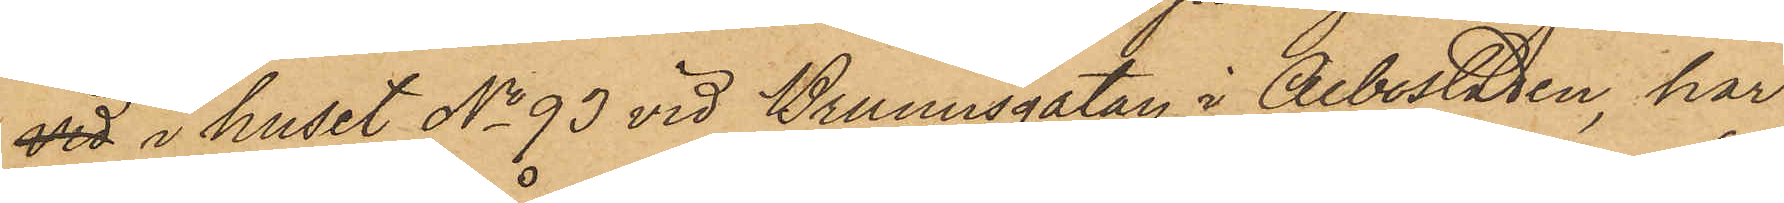vid i huset No 93 vid Brunnsgatan i Albostaden, har
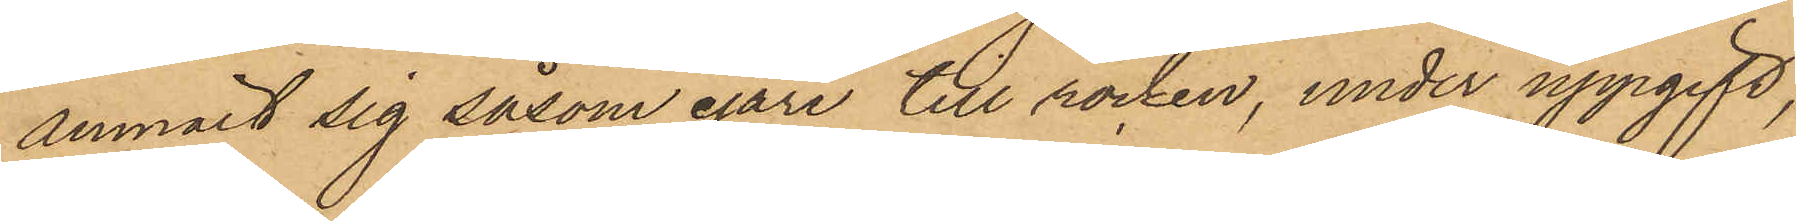anmält sig såsom egare till rocken, under uppgift,
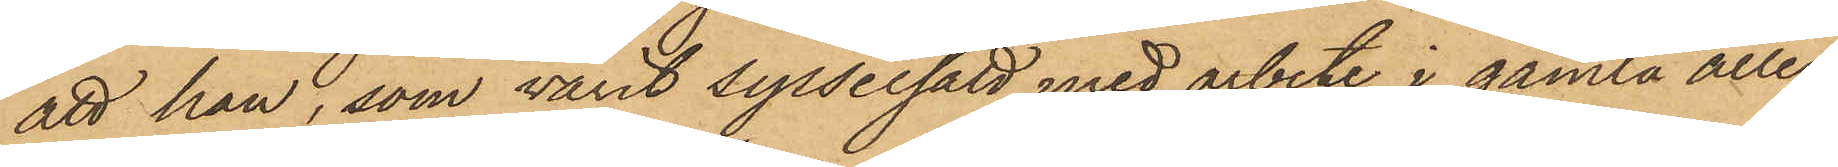att han, som varit sysselsatt med arbete i gamla allén,
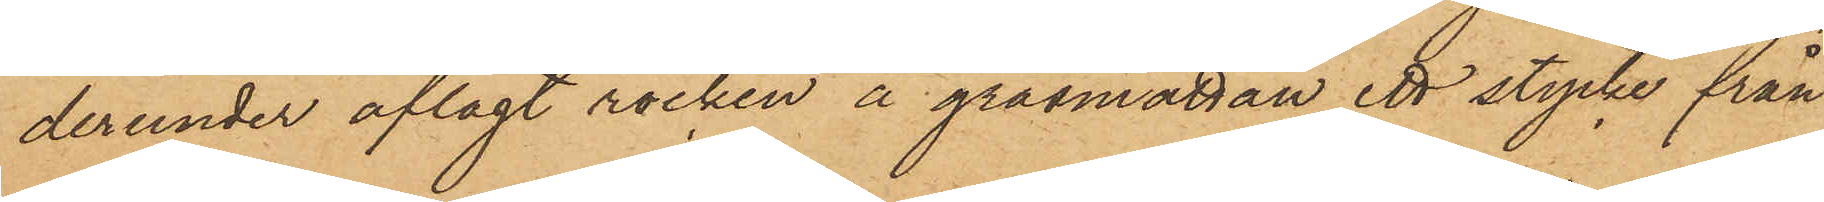derunder aflagt rocken å gräsmattan ett stycke från
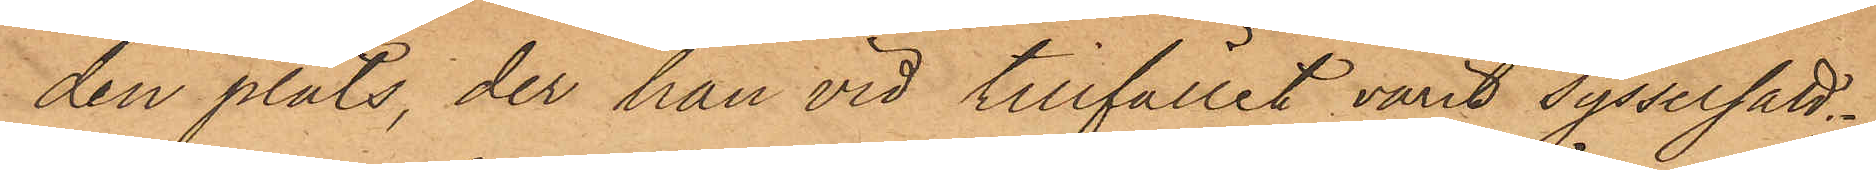den plats, der han vid tillfället varit sysselsatt;
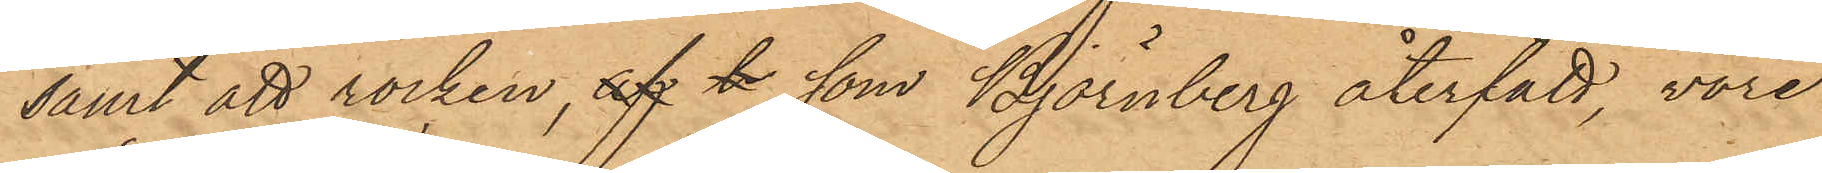samt att rocken, af t som Björnberg återfått, vore
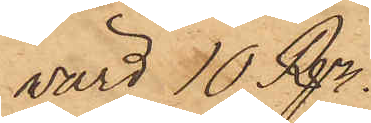värd 10 Rdr.
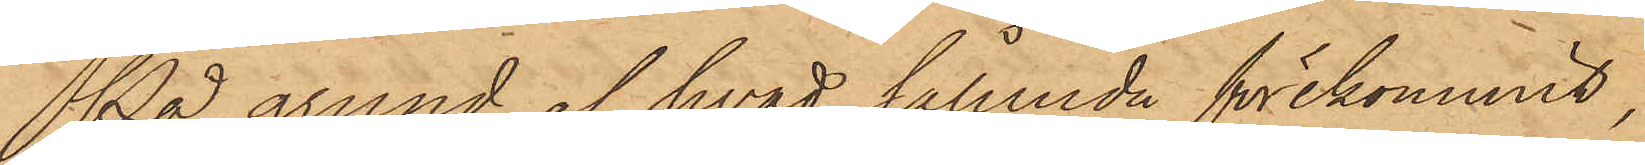På grund af hvad sålunda förekommit,
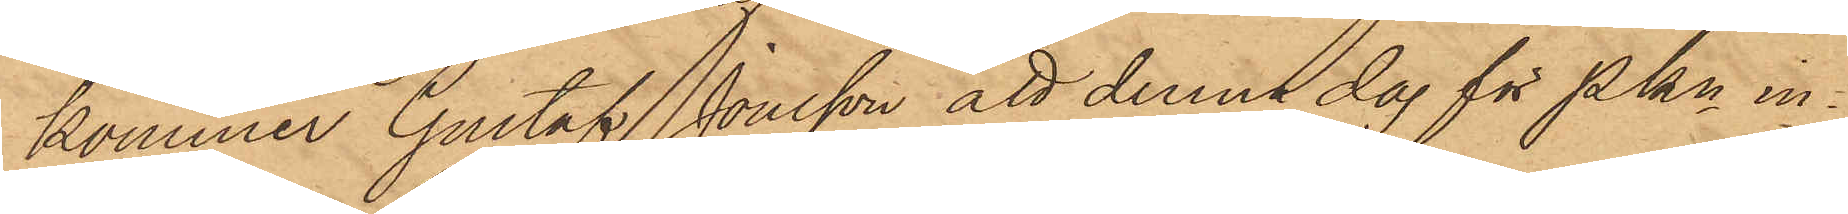kommer Gustaf Jonsson att denna dag för Pkn in¬
